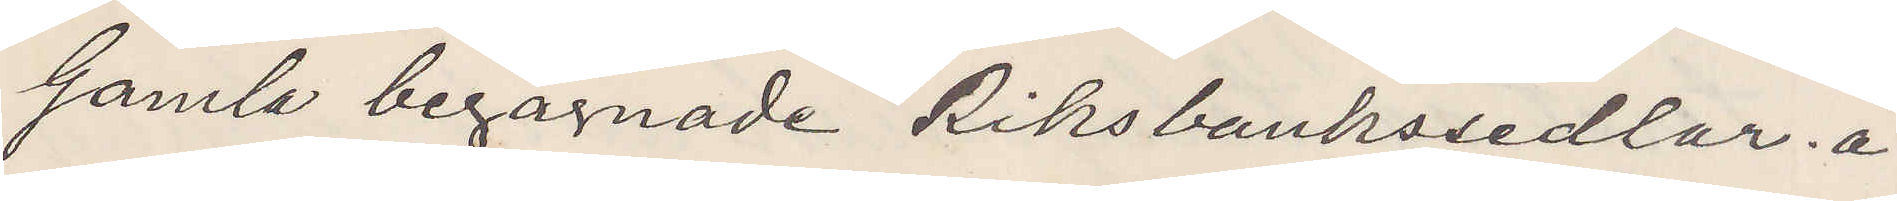Gamla begagnade Riksbankssedlar å
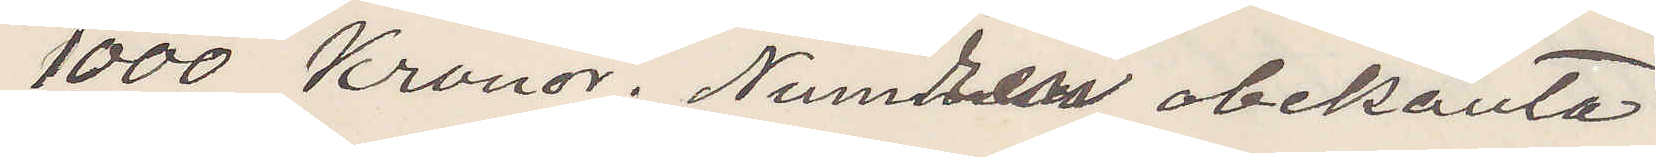1000 Kronor. Numren obekanta.
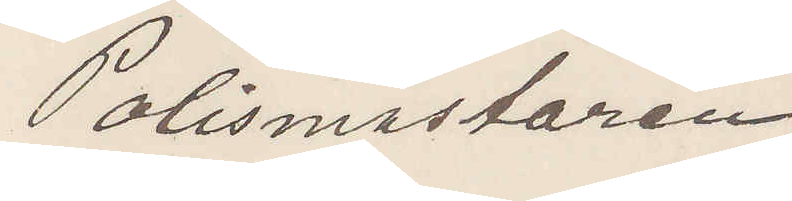Polismästaren
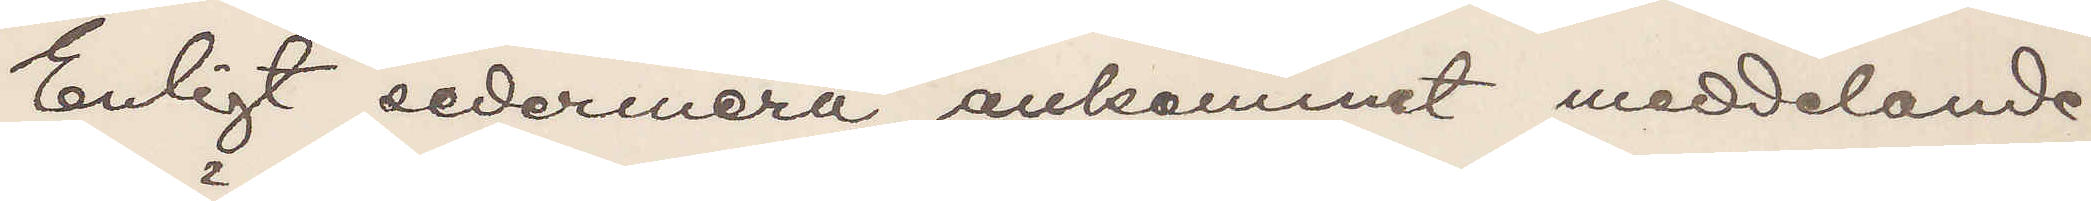Enligt sedermera ankommet meddelande
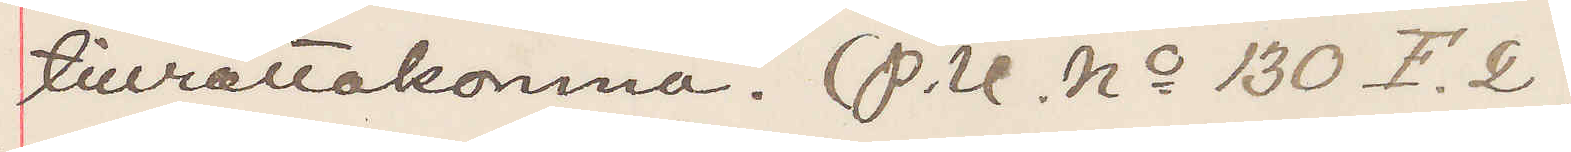tillrättakomna. (P. U. No 130 F. 2)
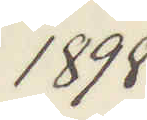1898
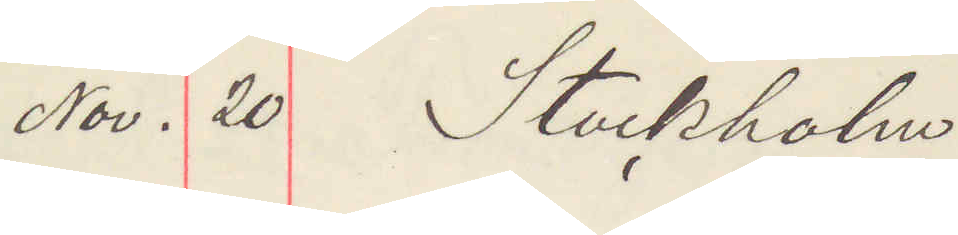Nov. 20 Stockholm
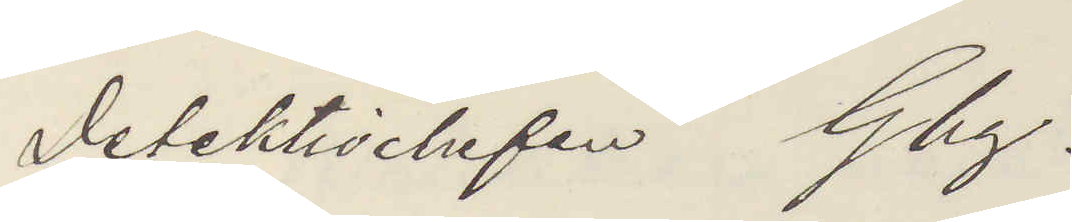Detektivchefen Gbg.
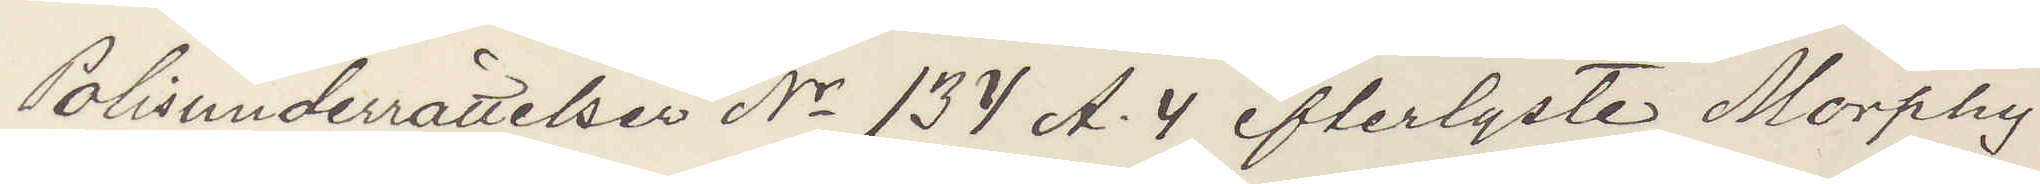Polisunderrättelser No 134 A. 4 efterlystes Morphy
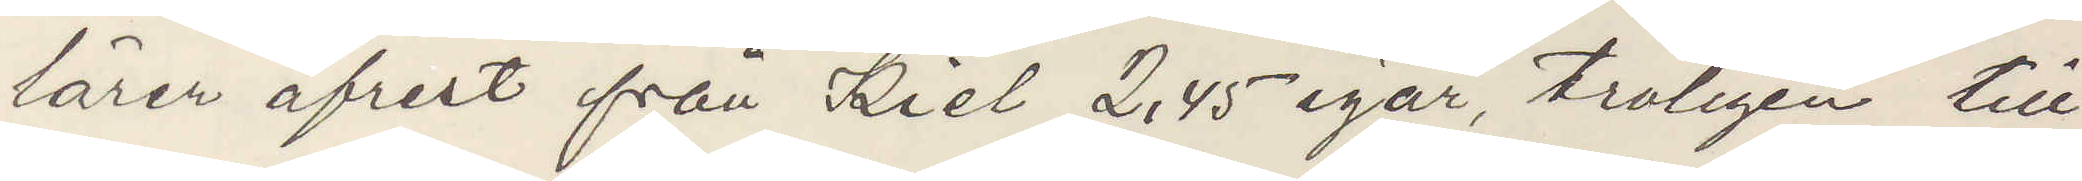lärer afrest från Kiel 2,45 igår, troligen till
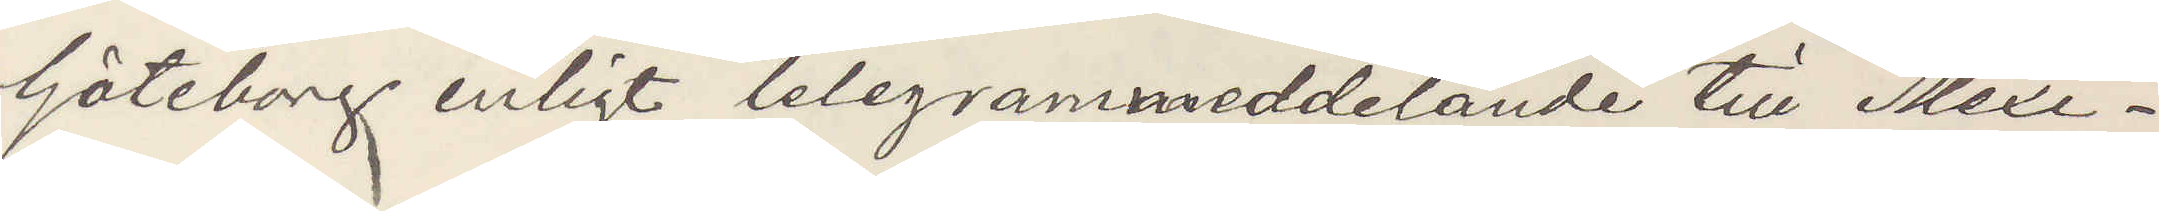Göteborg enligt telegrammeddelande till Mexi¬
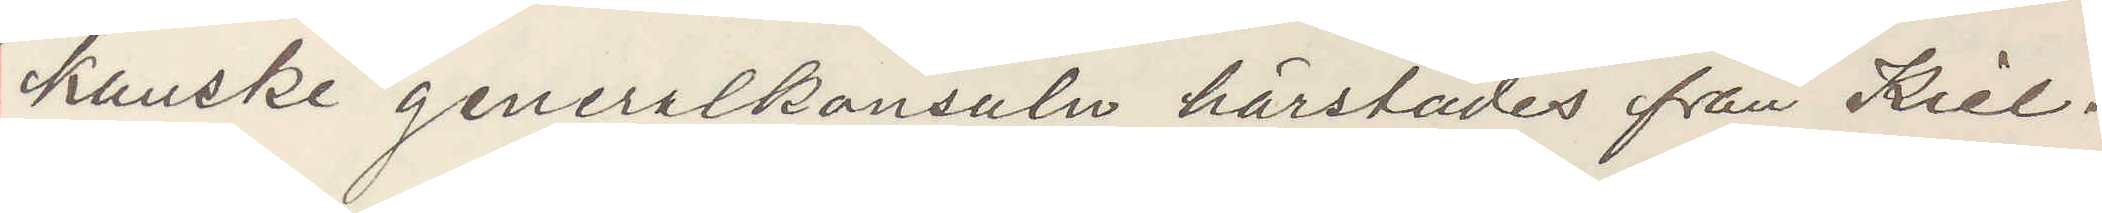kanske generalkonsuln härstädes från Kiel.
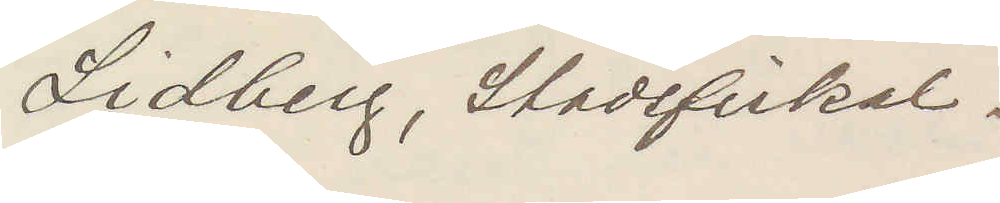Lidberg, Stadsfiskal.
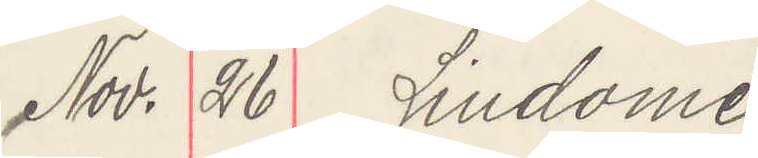Nov. 26 Lindome
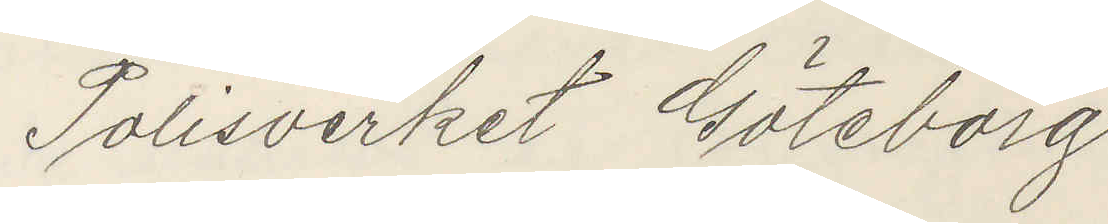Polisverket Göteborg.
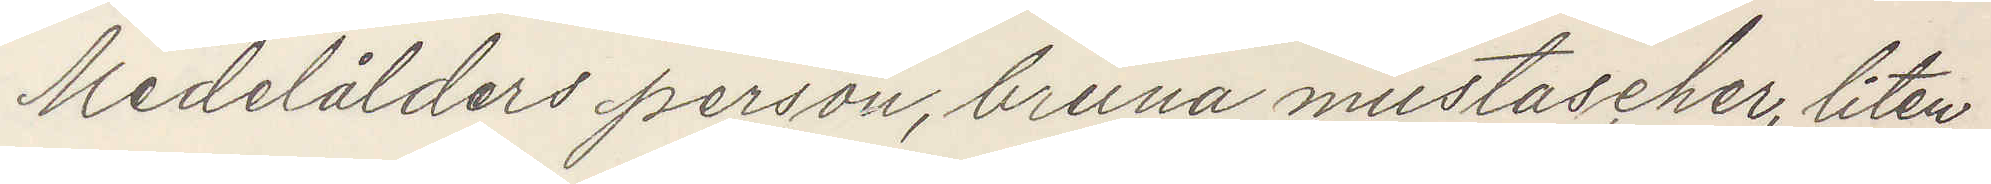Medelålders person, bruna mustascher, liten
